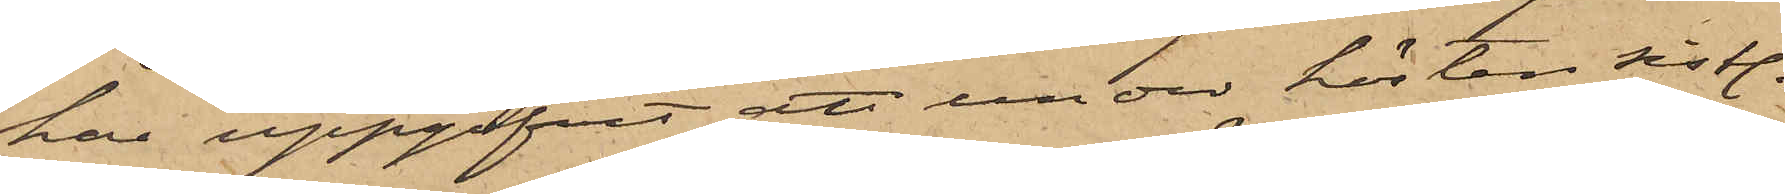har uppgifvit att under hösten sistl.
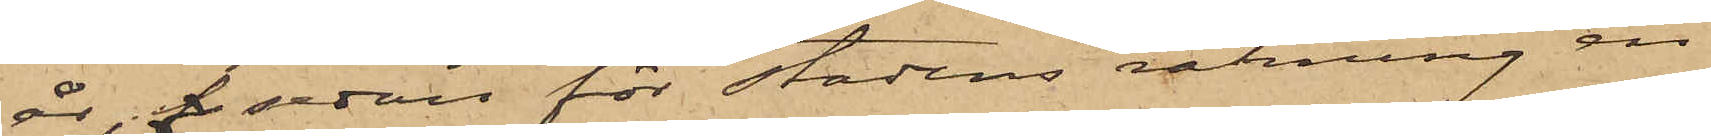år, f sedan för Stadens räkning en
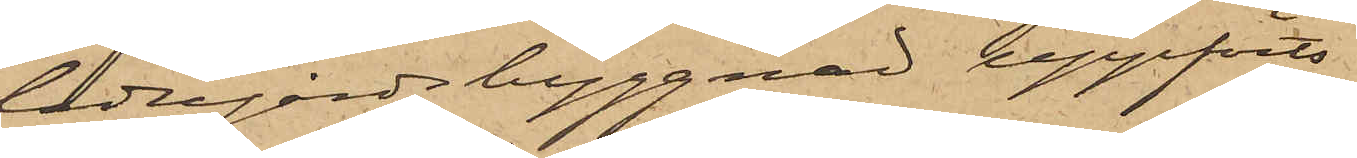ladugårdsbyggnad uppförts
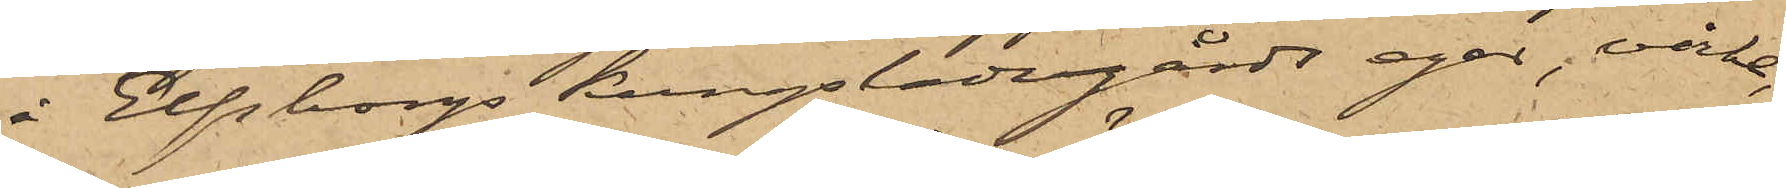å Elfborgs Kungsladugårds egor, virke,
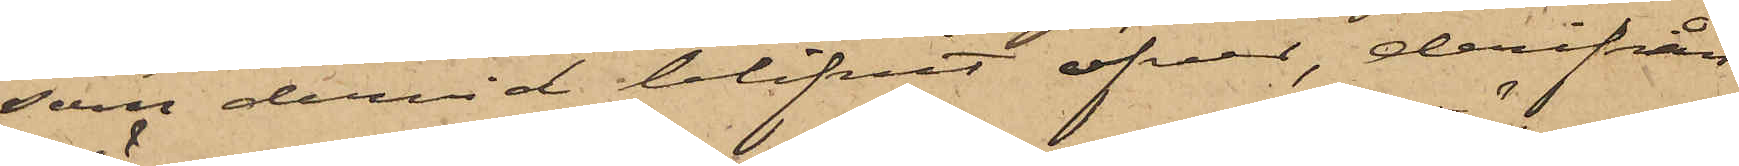som dervid blifvit öfver, derifrån
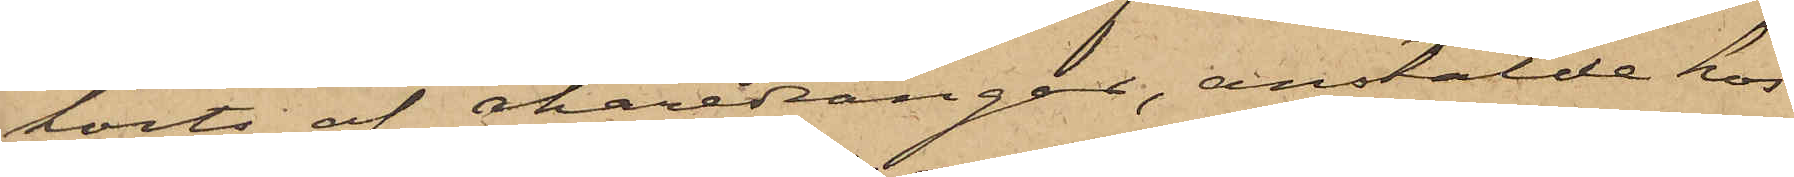körts af åkaredrängar, anstälde hos
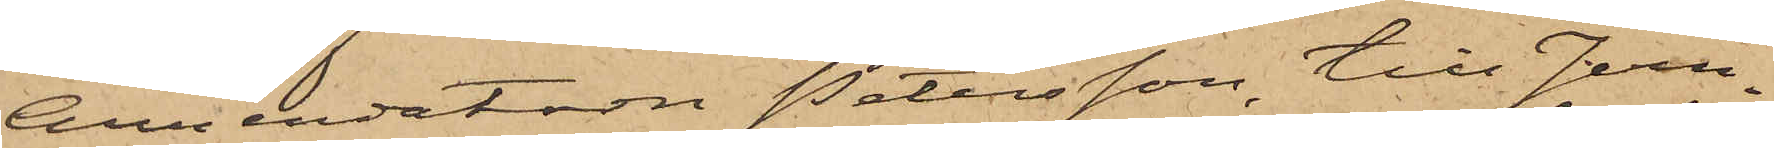Annendatorn Petersson, till Jern¬
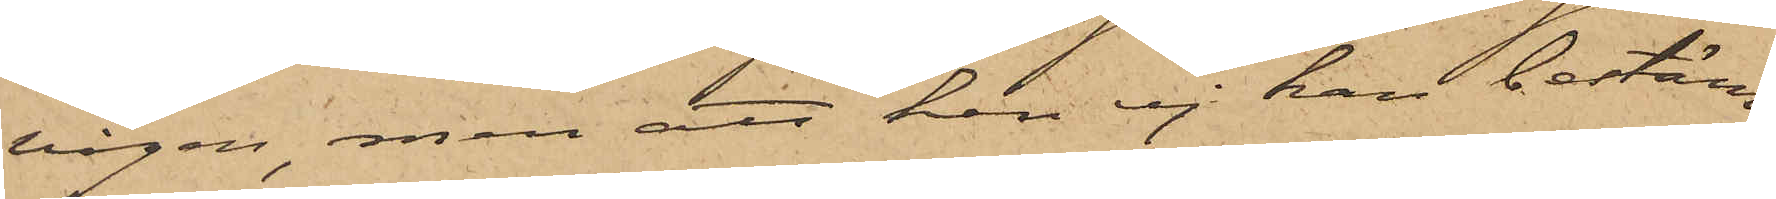vågen, men att han ej kan bestäm¬
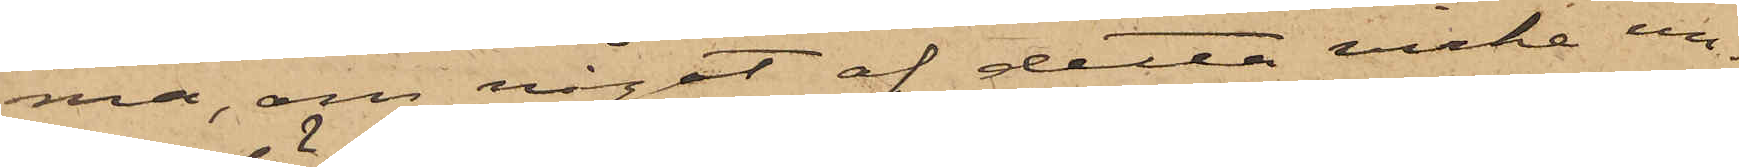ma, om något af detta virke un¬
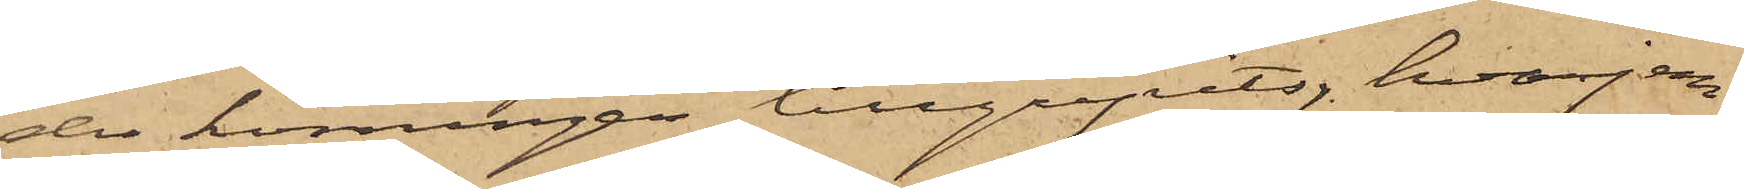der körningen tillgripits, hvarjem¬
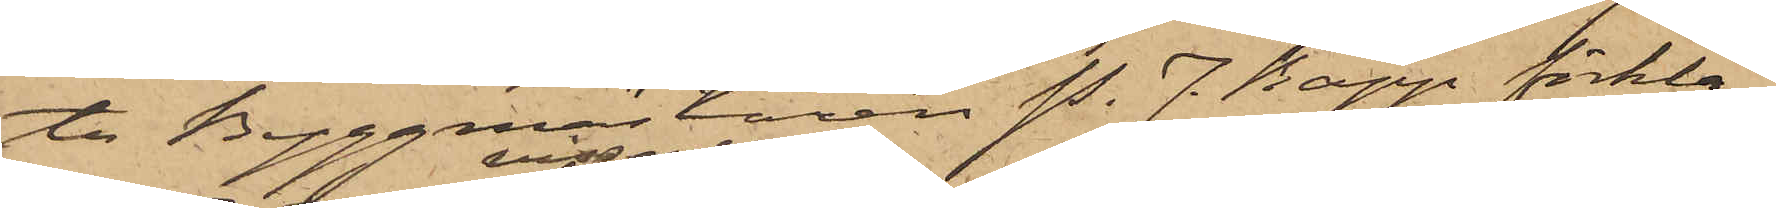te Byggmästaren P. J. Rapp förkla¬
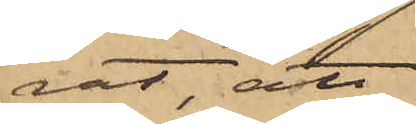rat, att
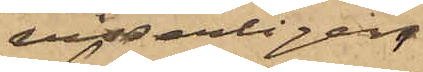visserligen
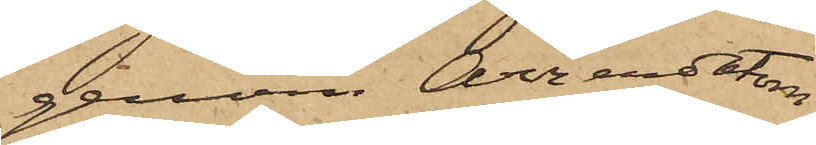genom Arrendatorn
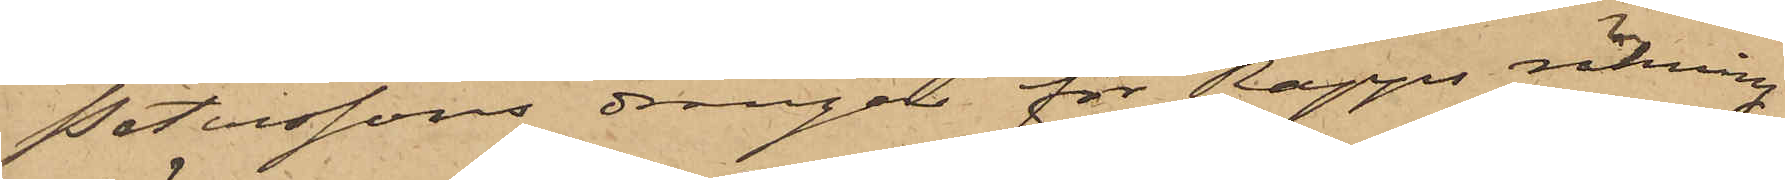Peterssons drängar för Rapps räkning
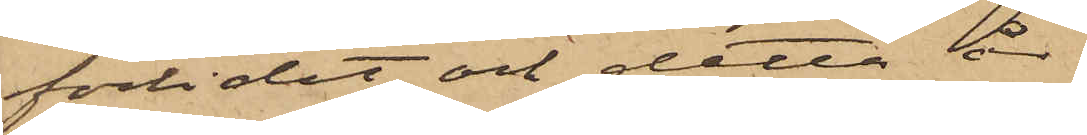förlidet och detta år
